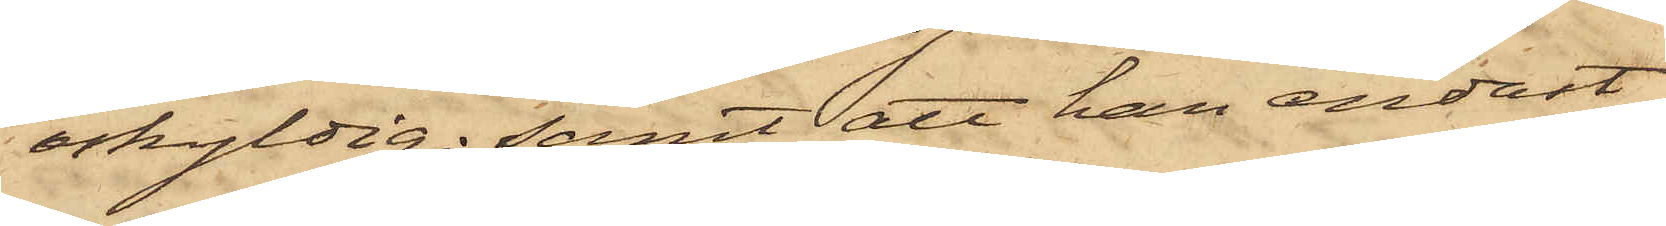oskyldig; samt att han endast
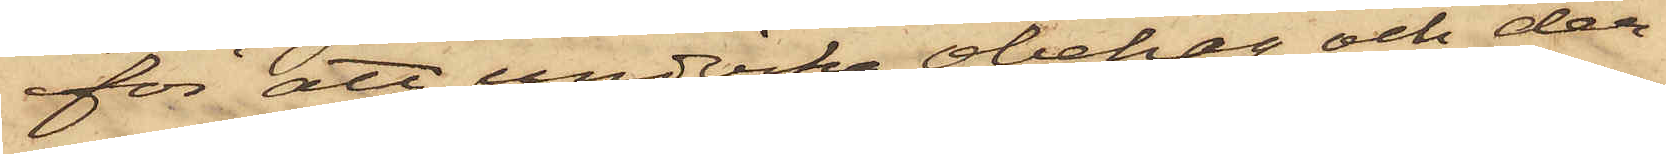för att undvika obehag och der¬
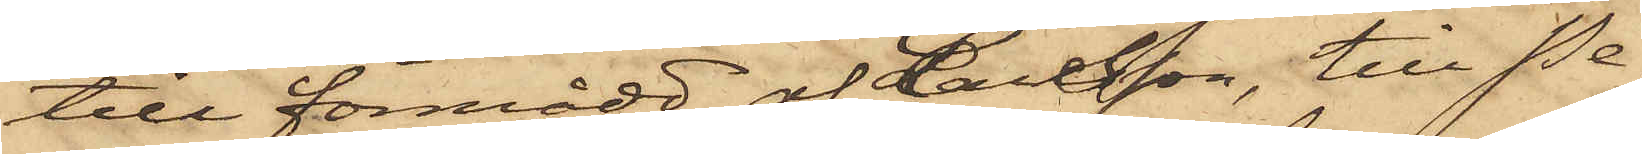till förmådd af Larsson, till Pe¬
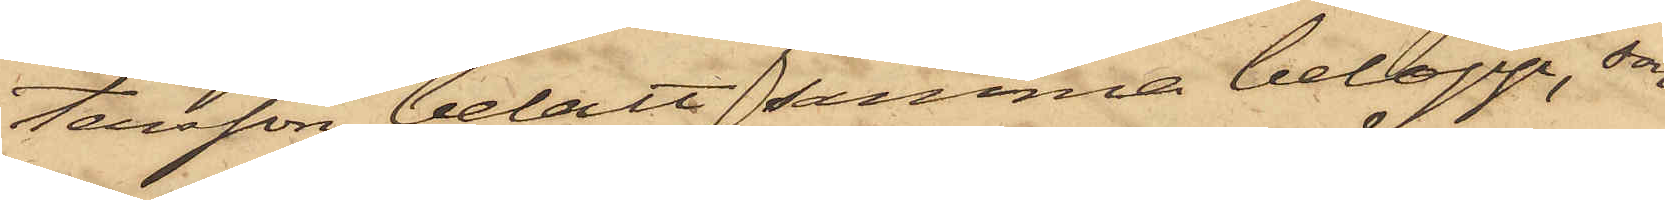tersson betalt samma belopp, som
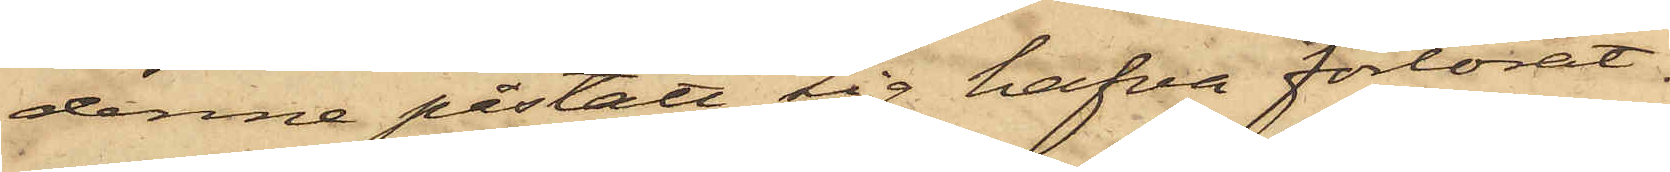denne påstått sig hafva förlorat.
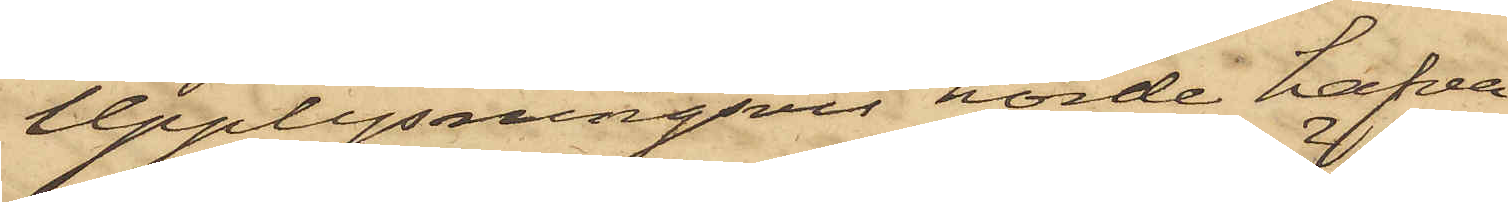Upplysningsvis hörde hafva
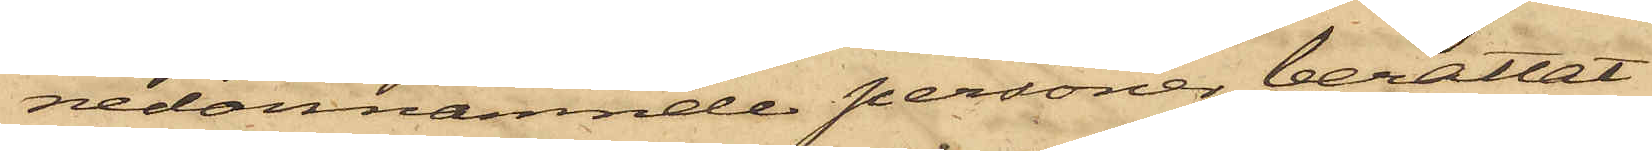nedannämnde personer berättat:
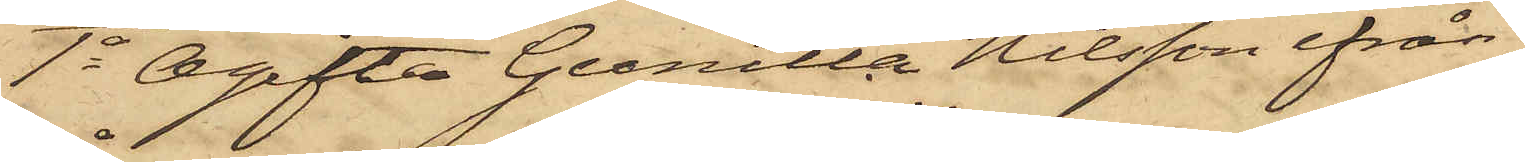1o Ogifta Gunilla Nilsson ifrån
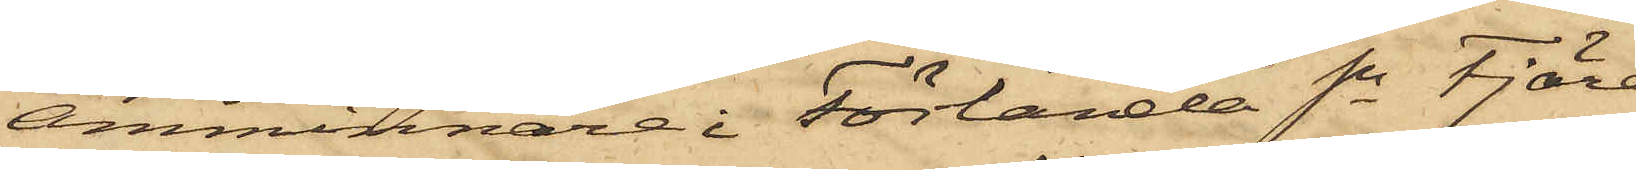Åmminnare i Förlanda Sn Fjäre
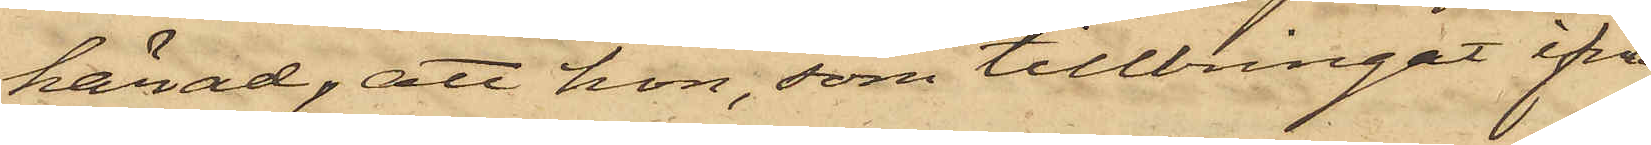härad; att hon, som tillbringat ifrå¬
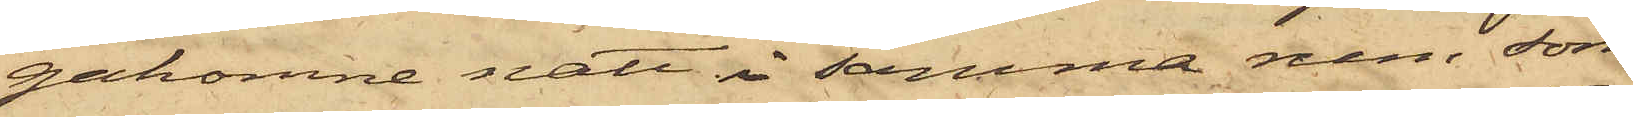gakomne natt i samma rum som
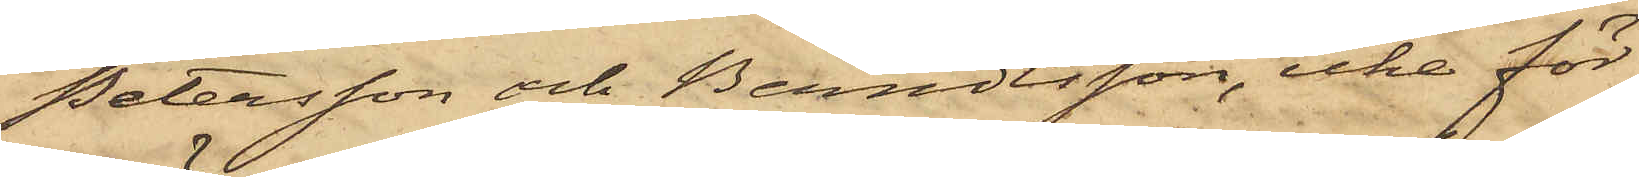Petersson och Berndtsson, icke för¬
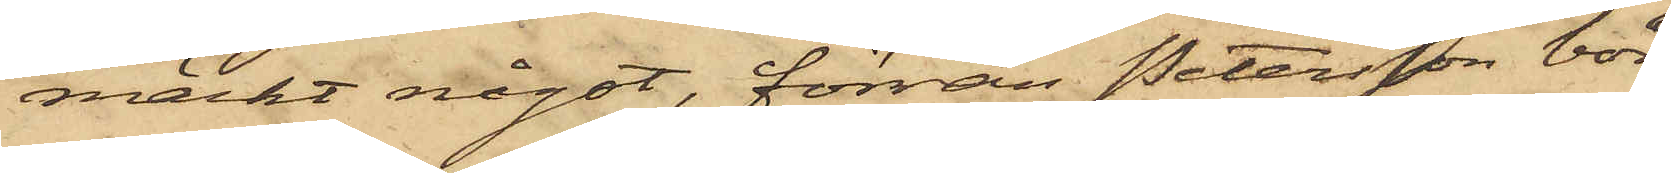märkt något, förrän Petersson bör¬
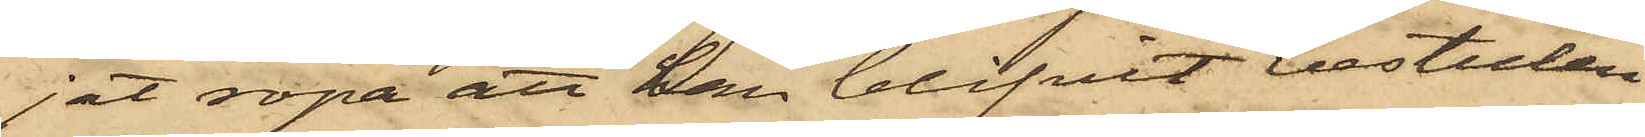jat ropa att han blifvit bestulen
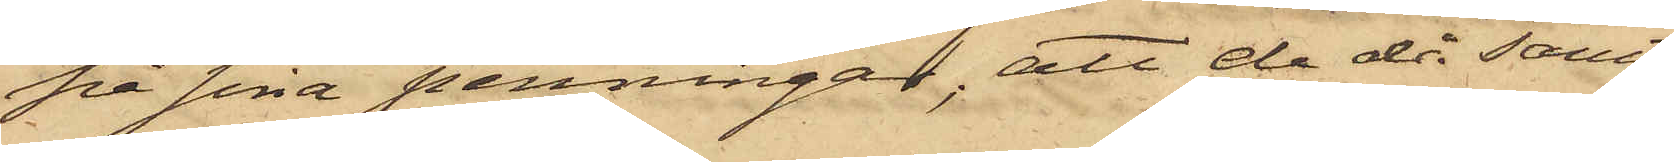på sina penningar; att de då samt¬
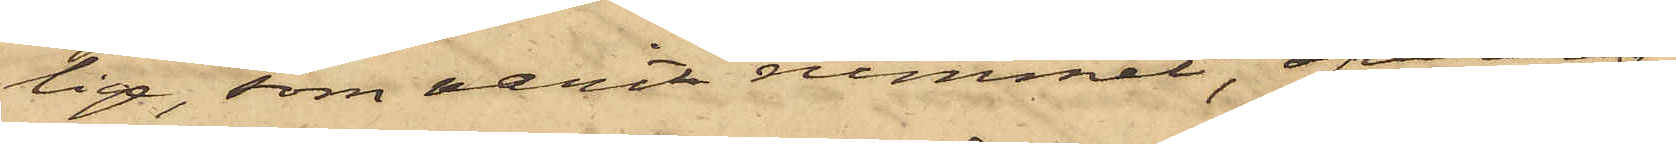lige, som varit rummet, öfverens¬
